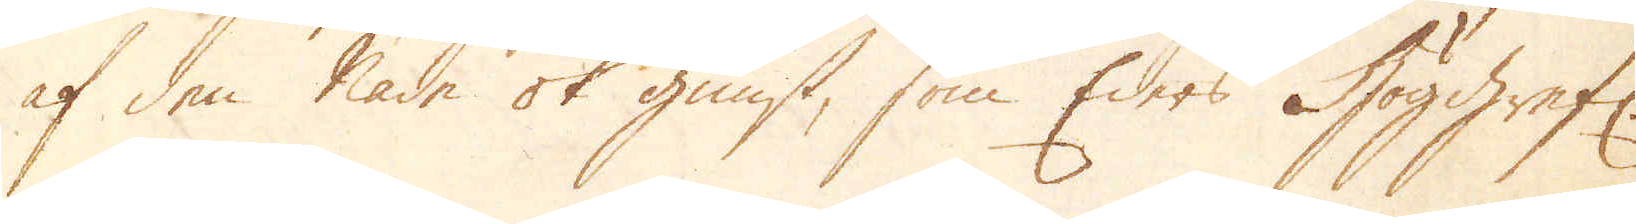af den Nåde ok gunst, som Eders Höggrefl:
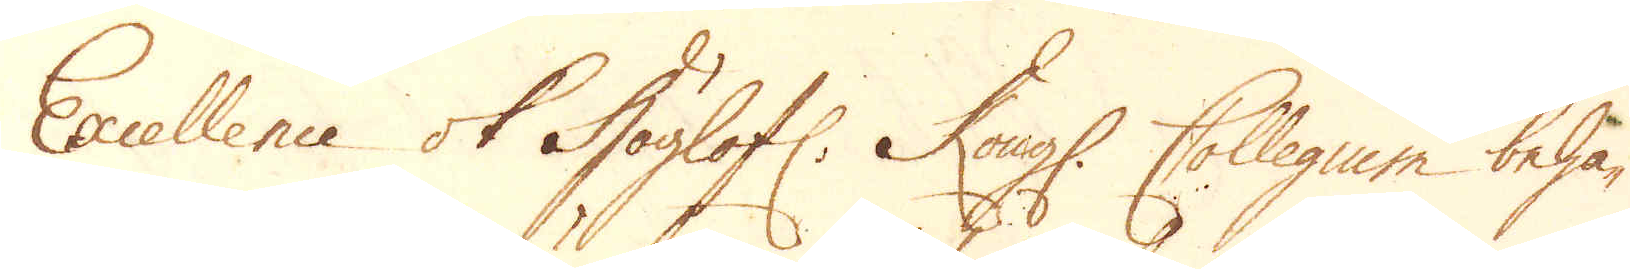Excellence ok Höglofl: Kongl. Collegium beha-
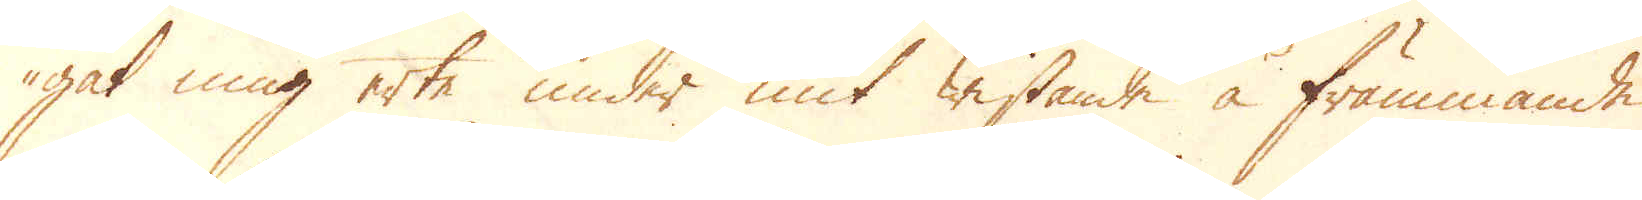gat mig erte under mit wistande å främmande
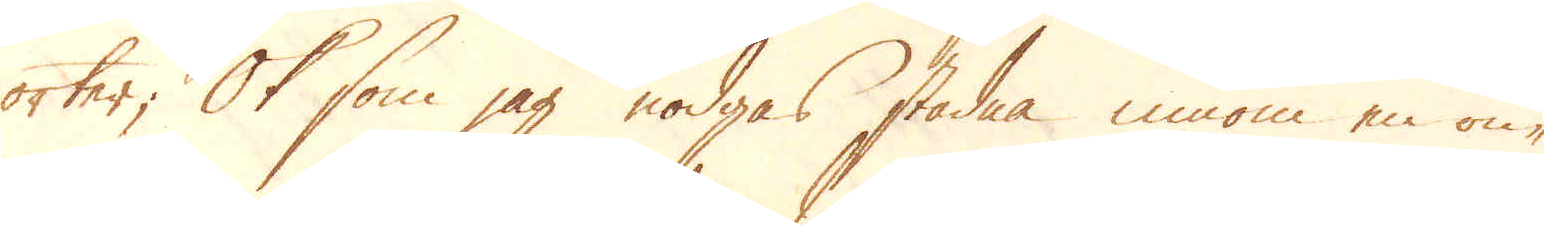orter; Ok som jag nödgas stadna innom en ön-
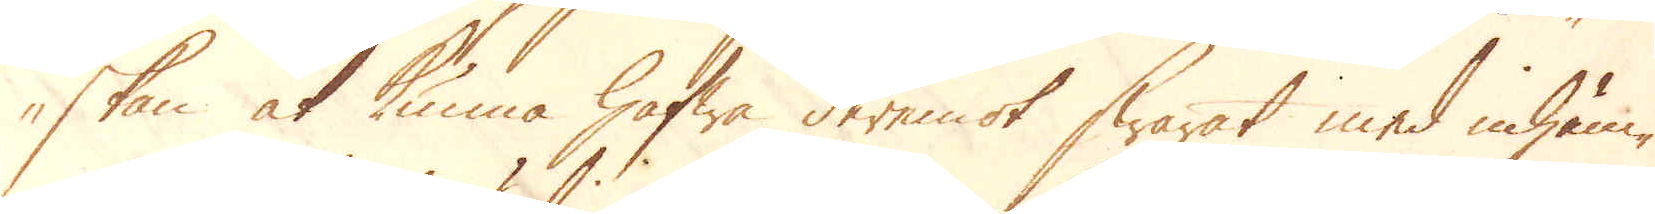skan at kunna hafwa deremot swarat med inhäm-
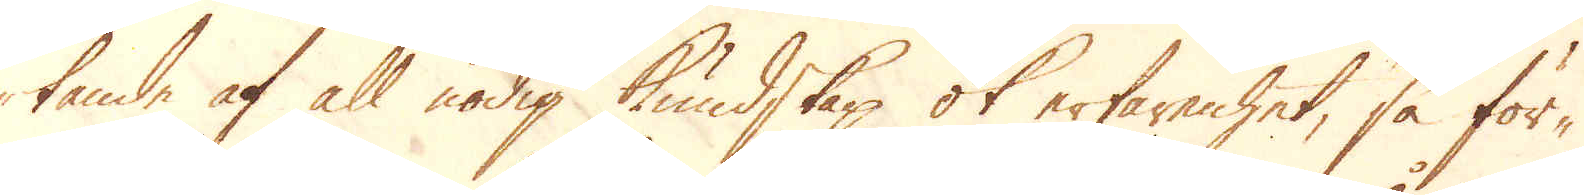tande af all nödig kundskap ok erfarenhet, så för-
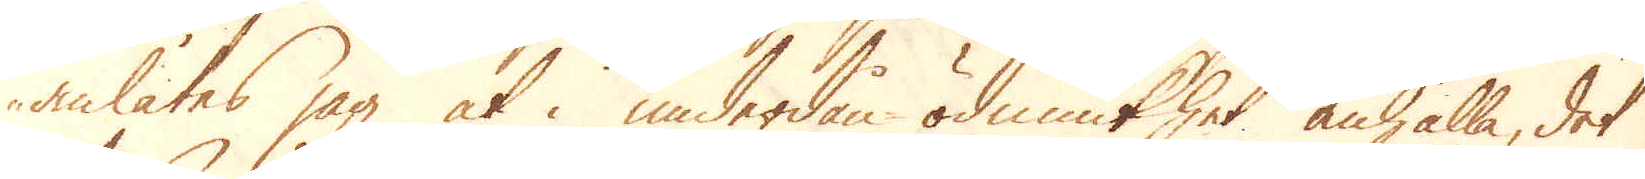anlåtes jag at i underdån-ödmiukhet anhålla, det
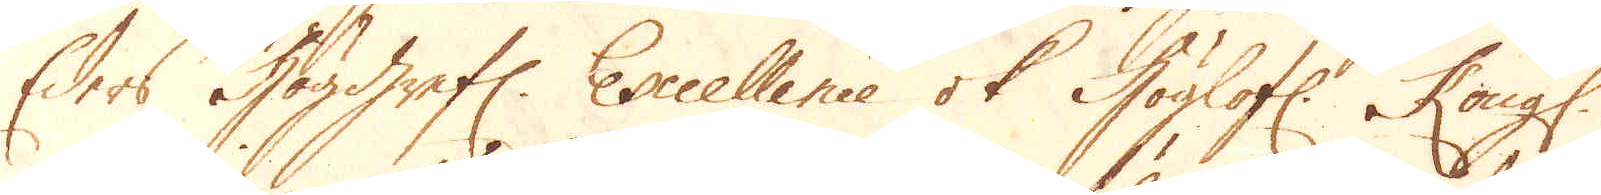Eders Höggrefl: Excellence ok Höglofl: Kongl.
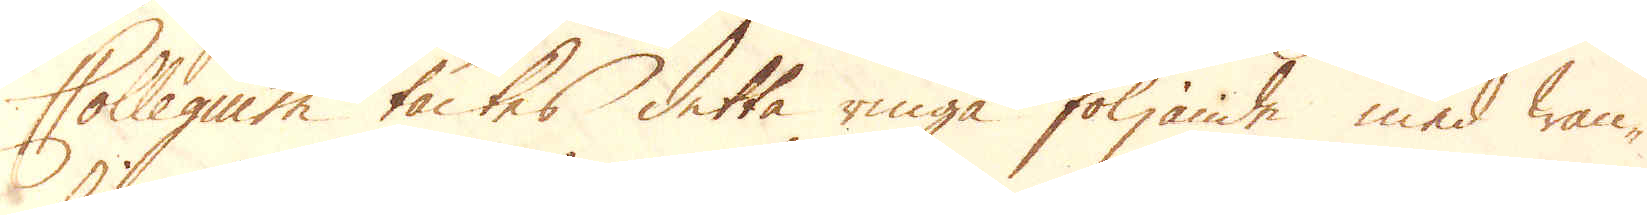Collegium täcktes detta ringa följande med wan-
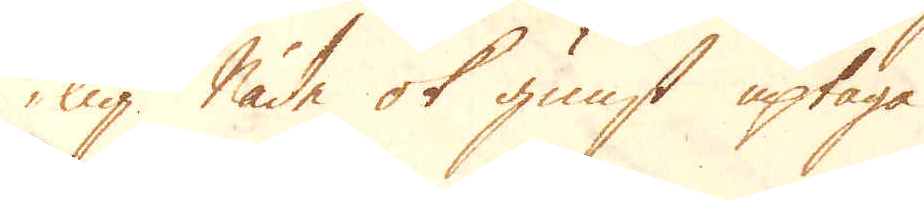lig Nåde ok gunst uptaga.
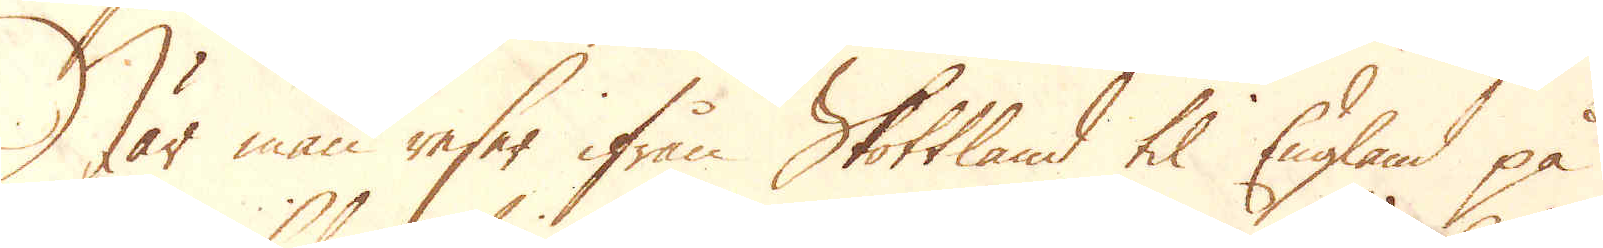När man reser ifrån Skottland til England på
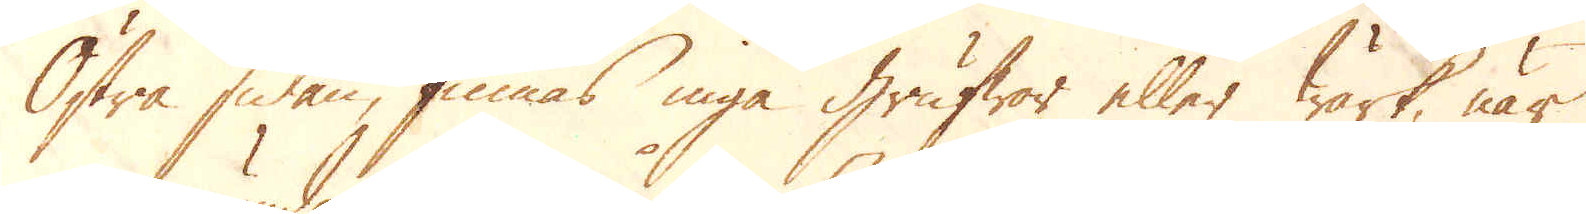Östra sidan, finnas inga grufwor eller wärk, när
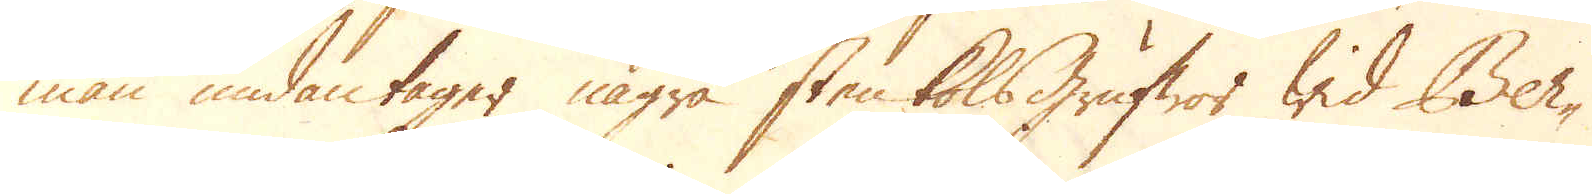man undantager några sten kolsgrufwor wid Ber-
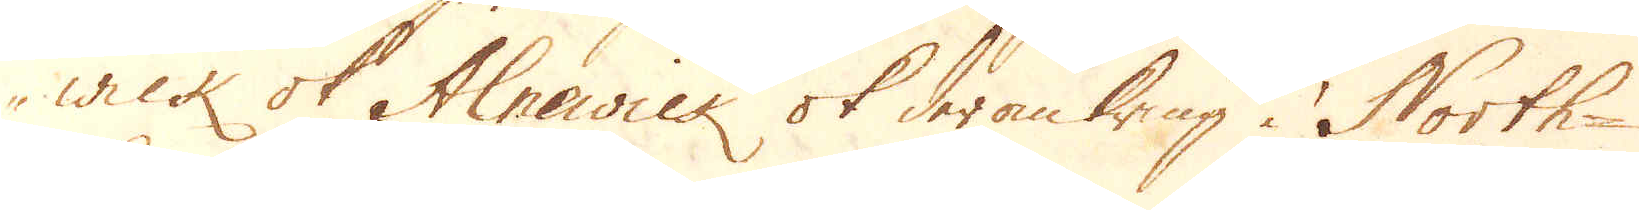wick ok Alnawick ok derom kring i North-
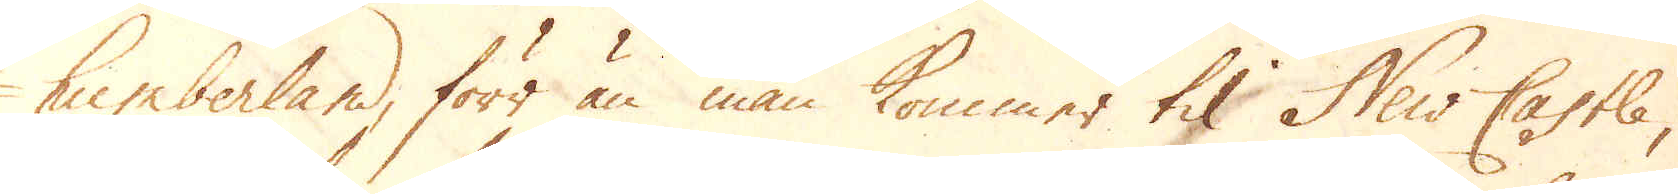tumberland, förr än man kommer til New Castle,
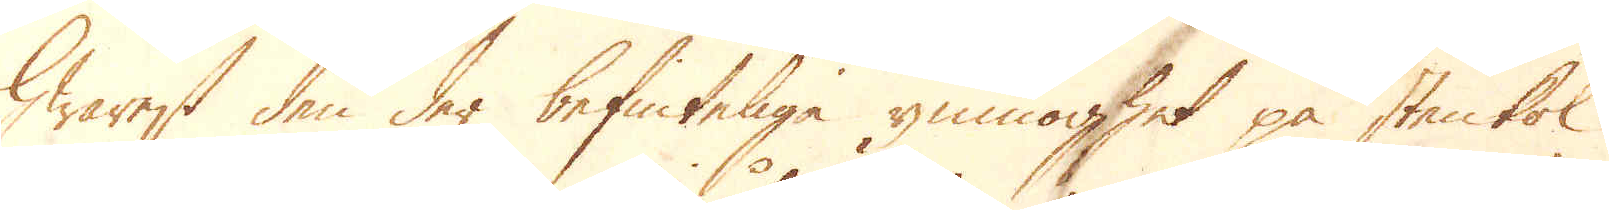hwarest den der befinteliga ymnoghet på stenkol
